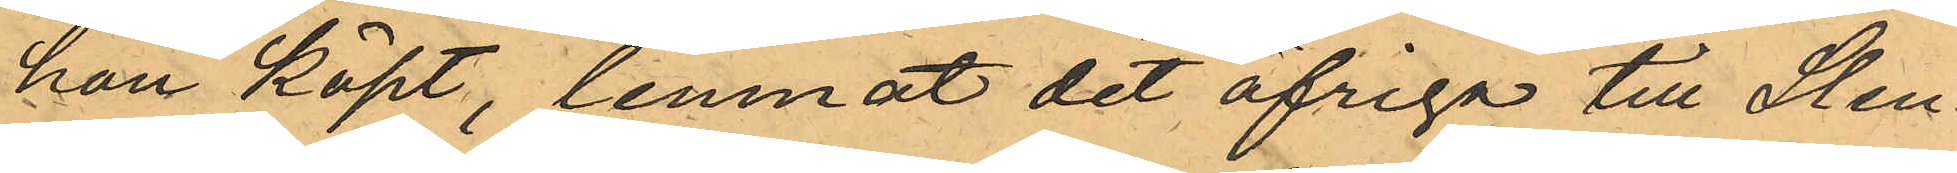hon köpt, lemnat det öfriga till Sten¬
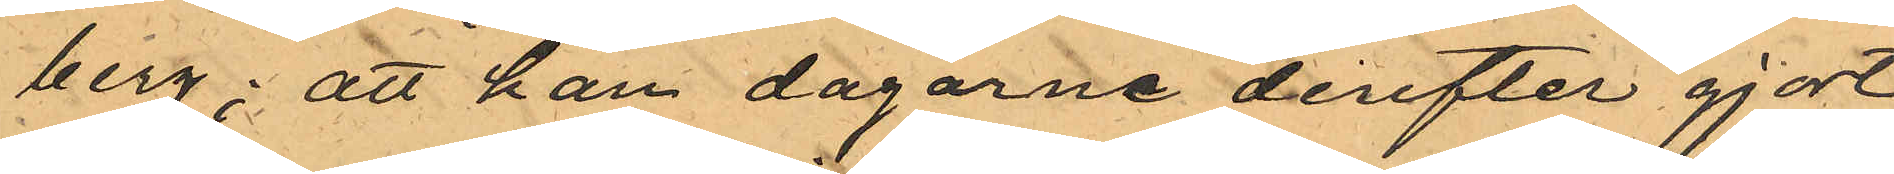berg; att han dagarne derefter gjort
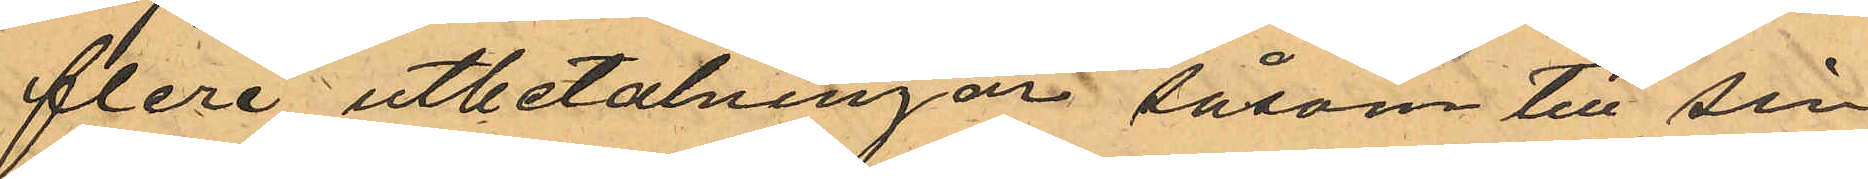flera utbetalningar såsom till sin
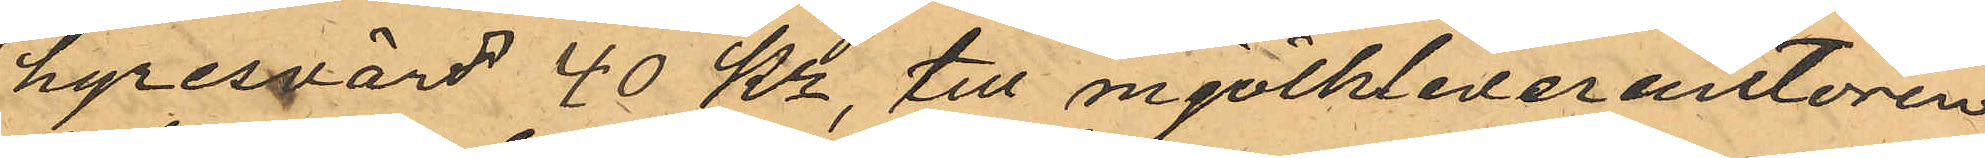hyresvärd 40 Kr, till mjölkleverantören
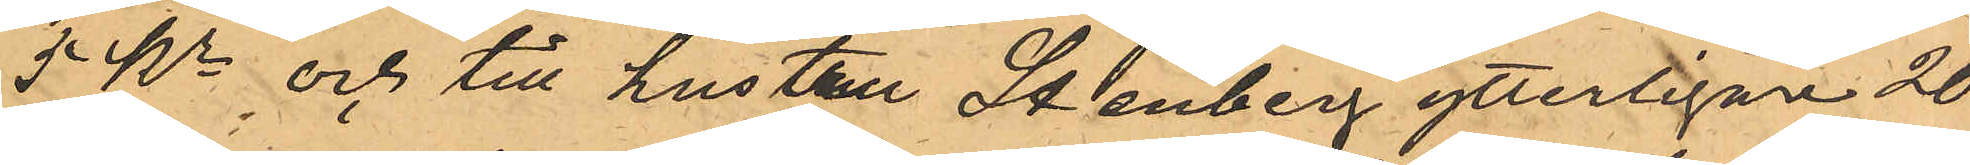5 Kr och till hustru Stenberg ytterligare 20
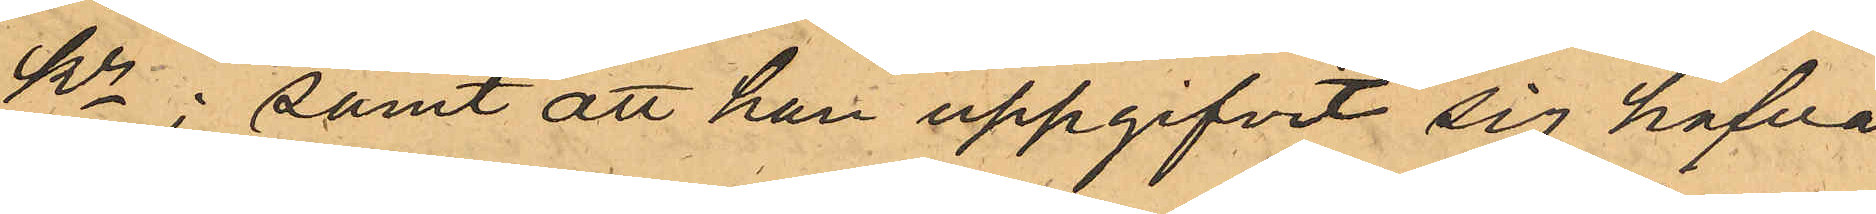Kr; samt att han uppgifvit sig hafva
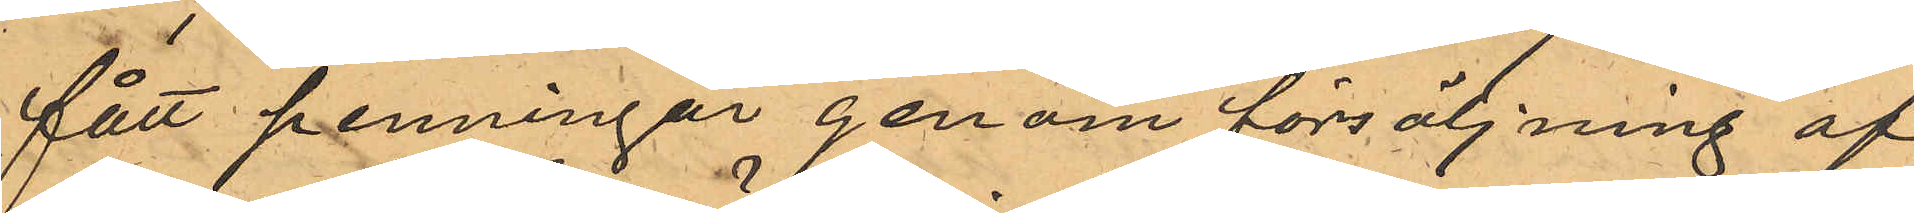fått penningar genom försäljning af
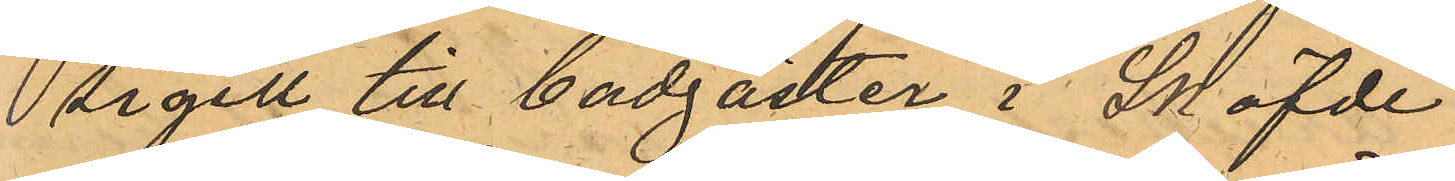sigill till badgäster i Sköfde.
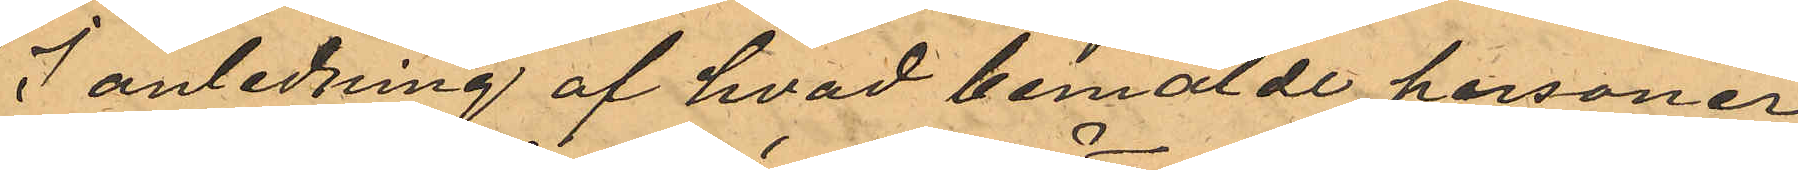I anledning af hvad bemälde personer
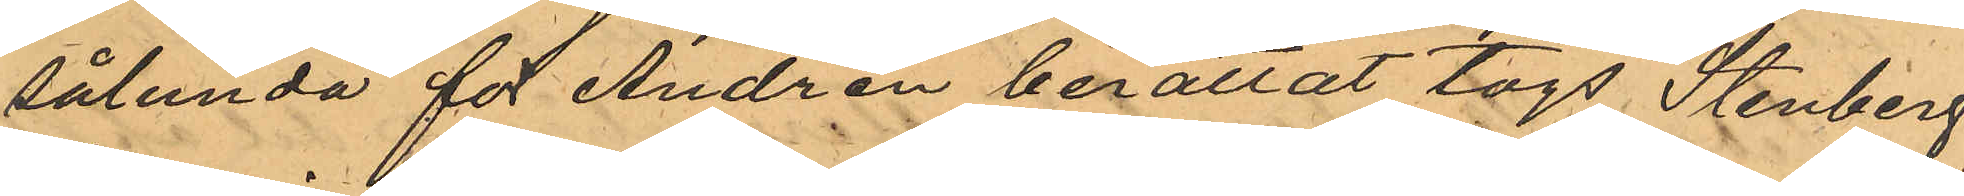sålunda för Andrén berättat togs Stenberg
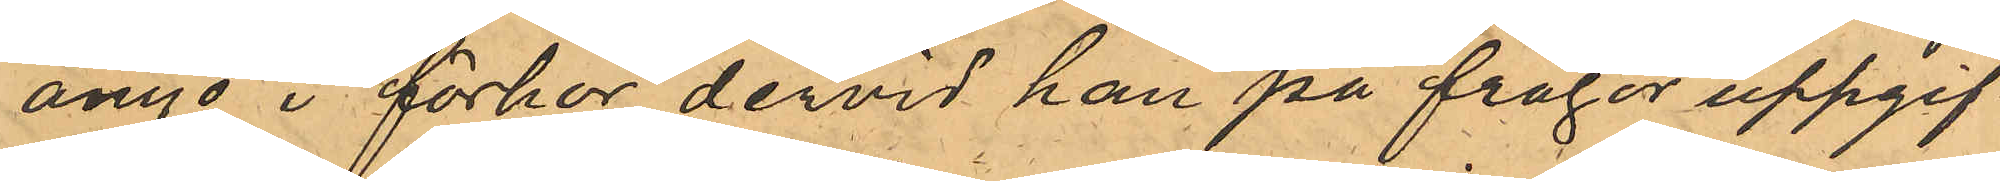ånyo i förhör, dervid han på frågor uppgif¬
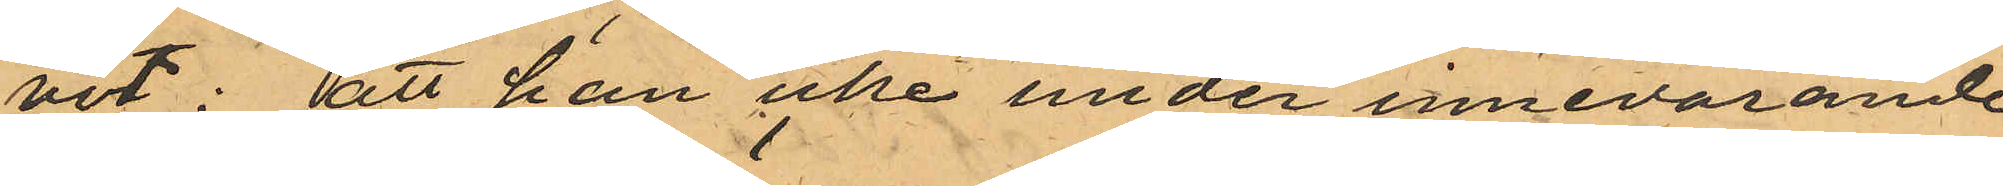vit: att han icke under innevarande
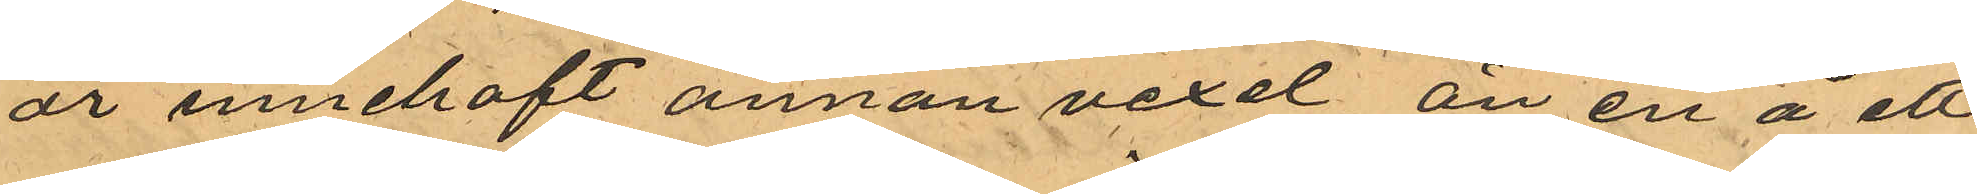år innehaft annan vexel, än en å ett
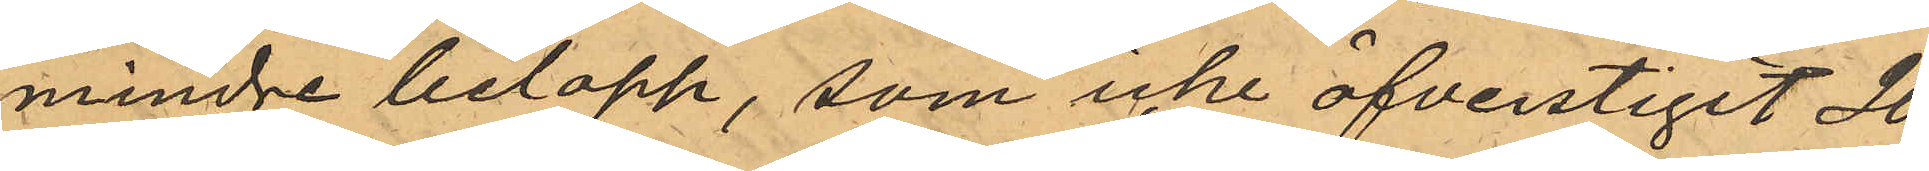mindre belopp, som icke öfverstigit 20
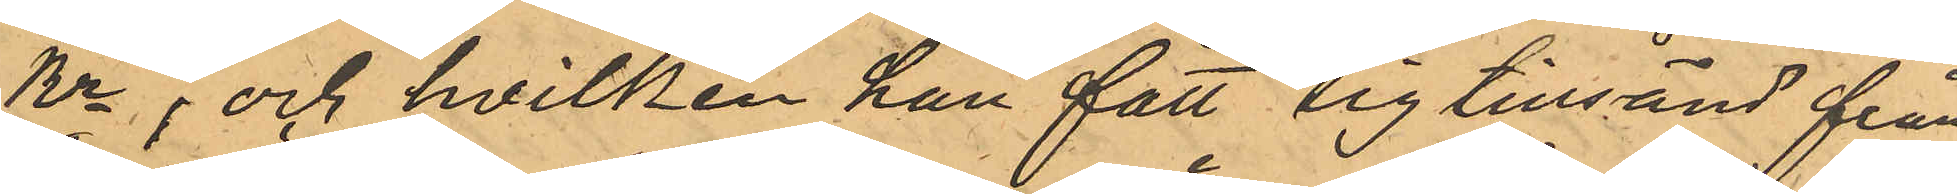Kr, och hvilken han fått sig tillsänd från
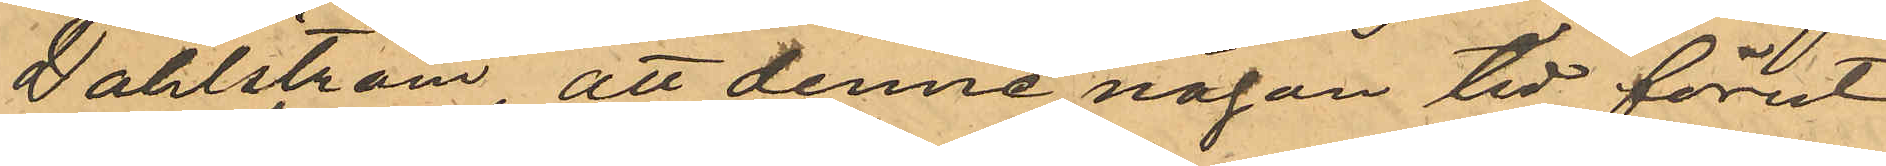Dahlström, att denne någon tid förut
